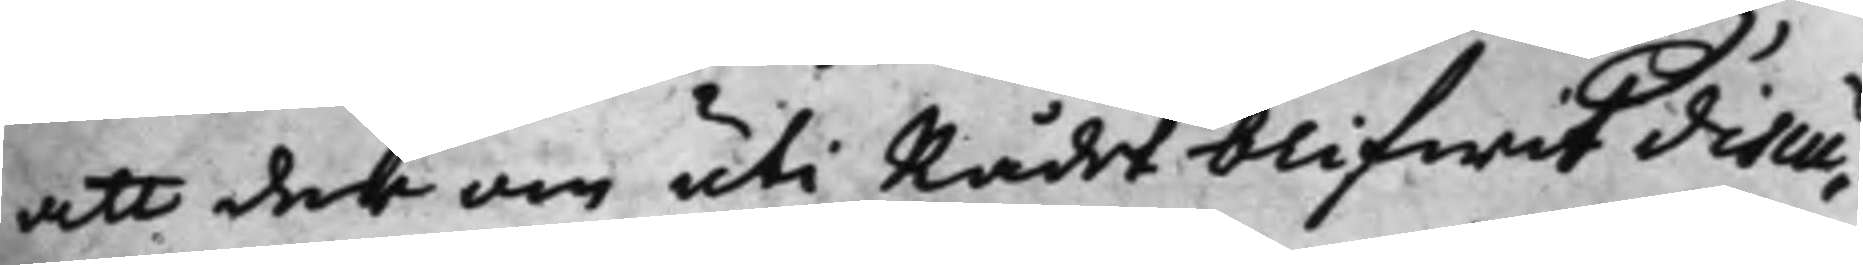att der om uti Rådet blifwit discu¬
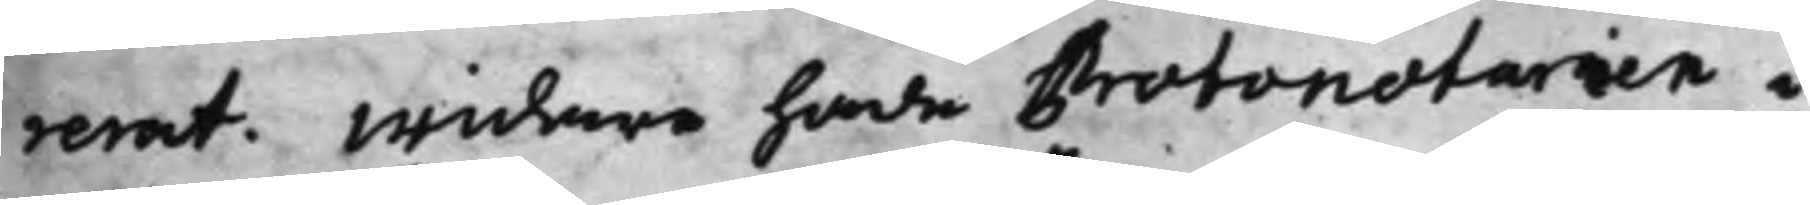rerat. widare hade Protonotarien i
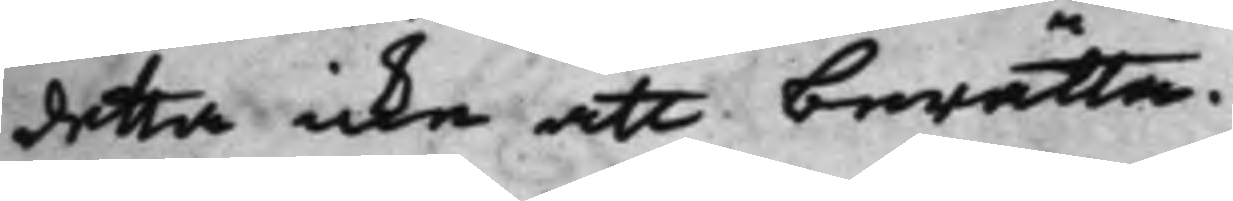detta icke att berätta.
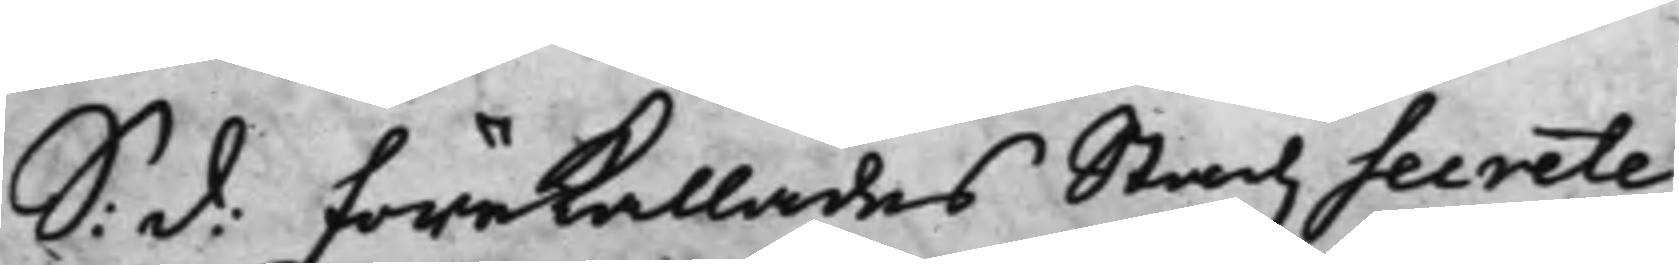S: d: Förekallades Stadz Secrete¬ Joh. Broström
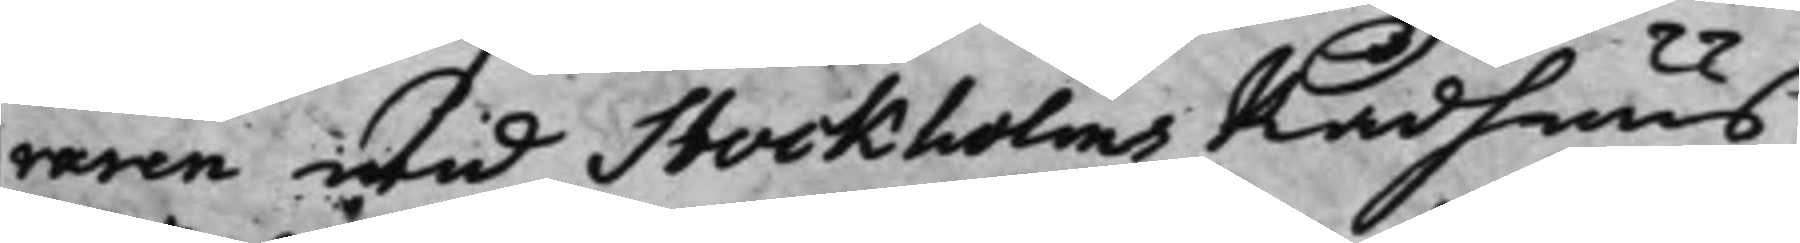aren wid Stockholms Rådhuus
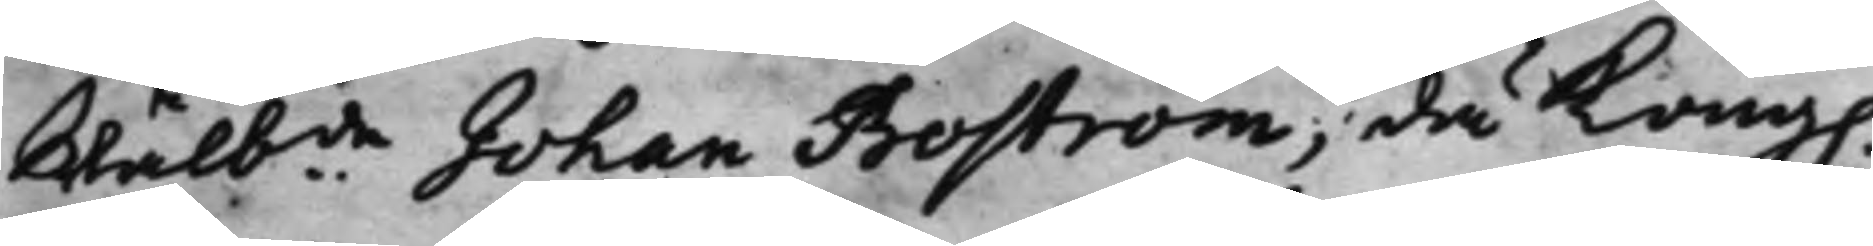Wälbde Johan Boström, då Kong.
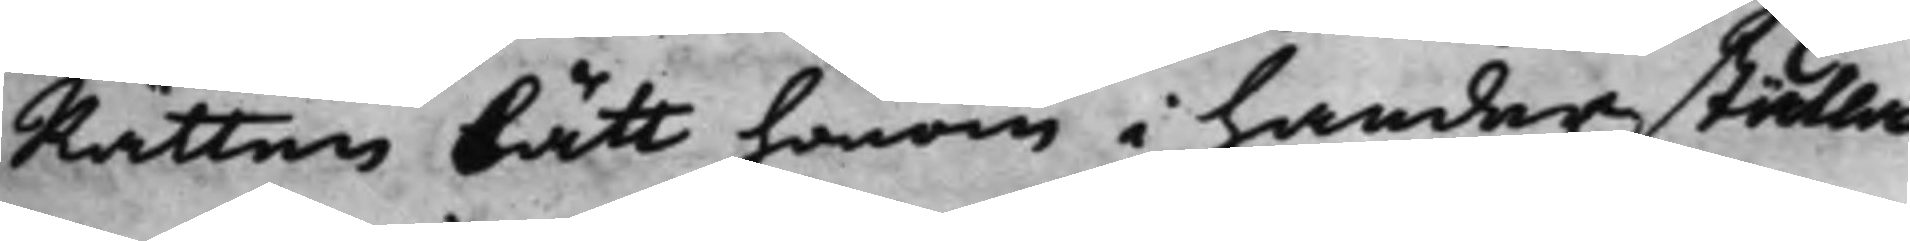Rätten bätt honom i händers ställa
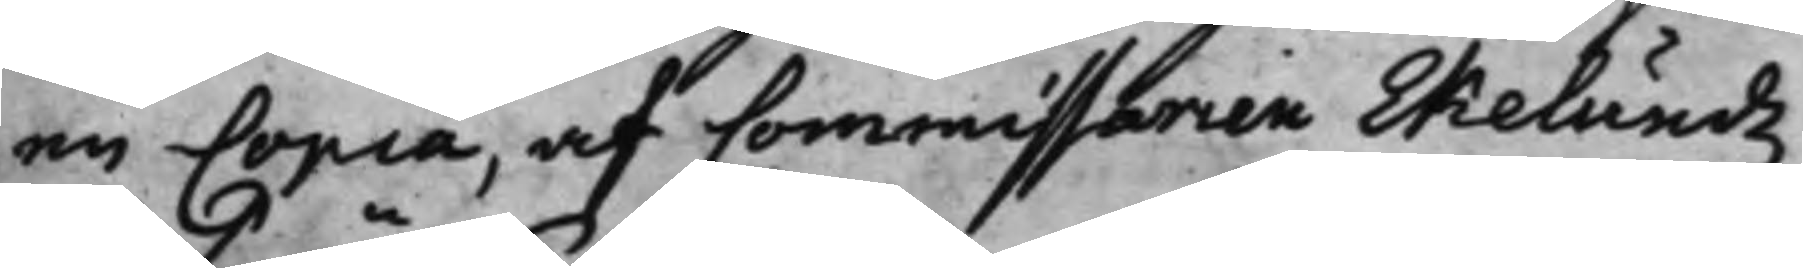en Copia, af Commissarien Ekelundz
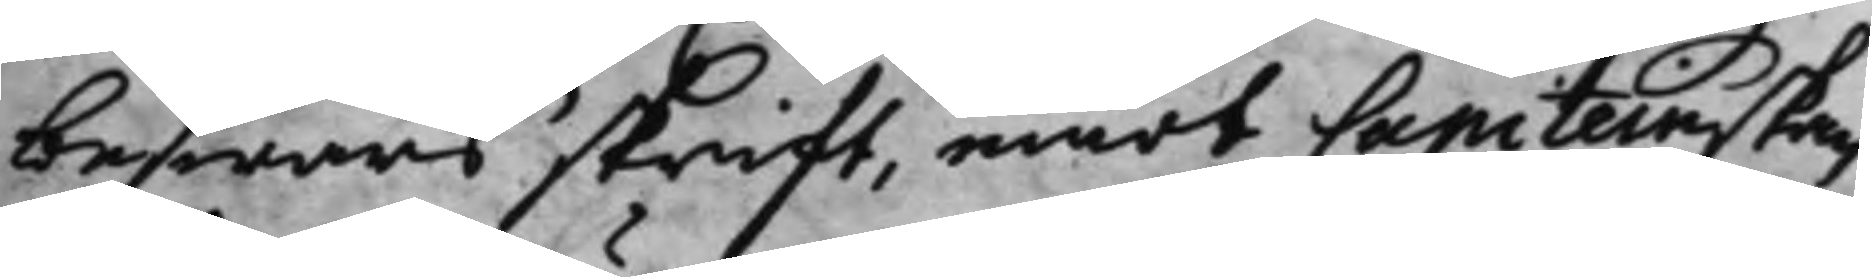beswärsskrift, emot Capiteinskan
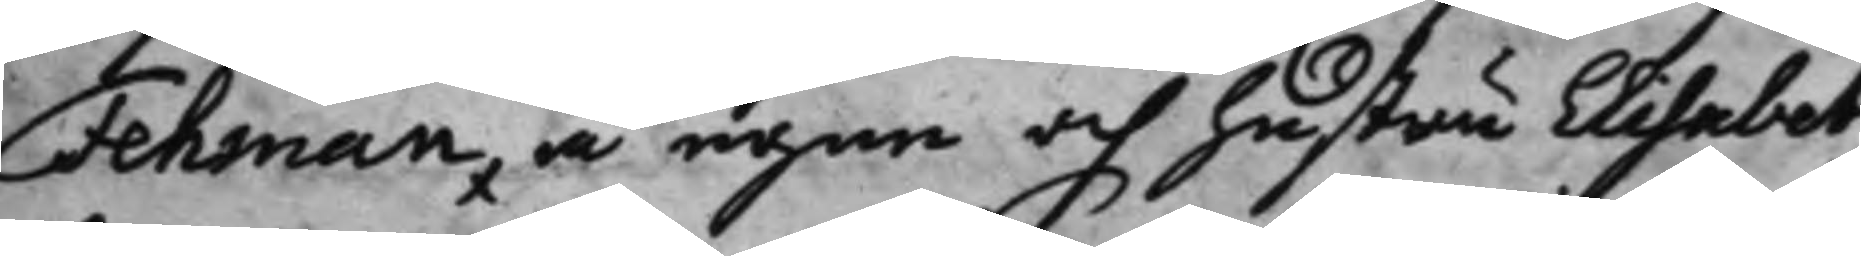Fehman, å egne och hustru Elisabeth
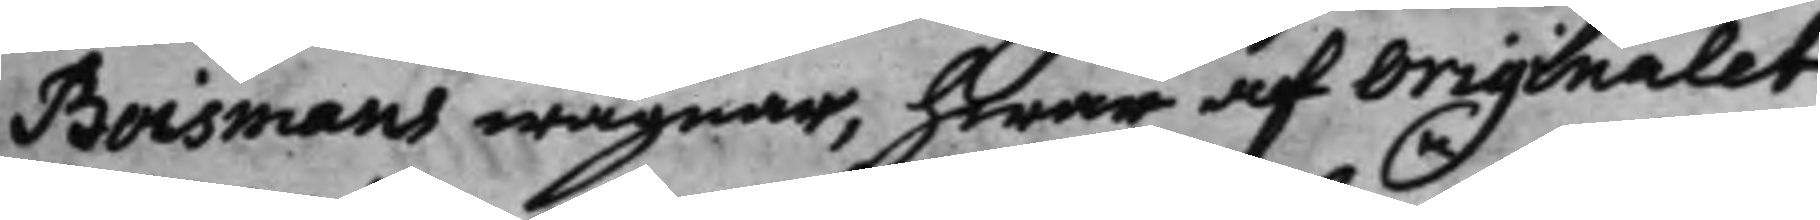Boismans wägnar, hwar af originalet
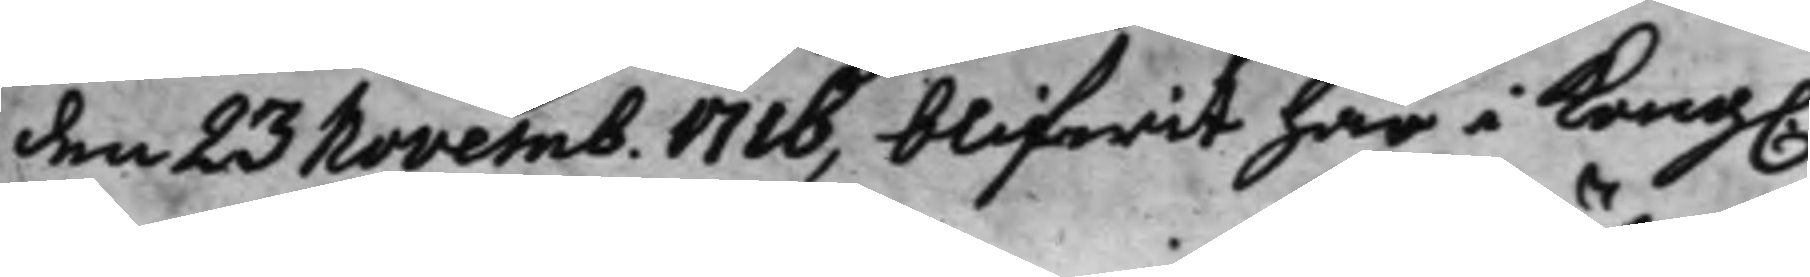den 23 Novemb. 1716, blifwit här i Kong.
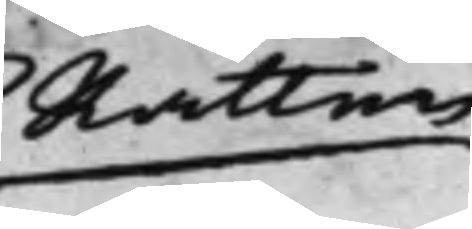Rätten
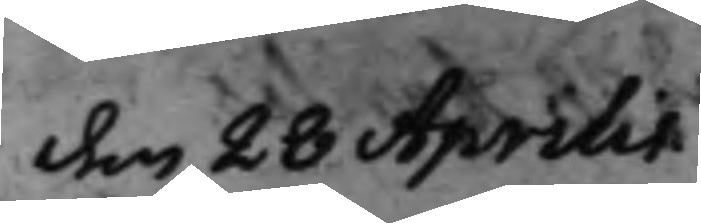den 28 Aprilis
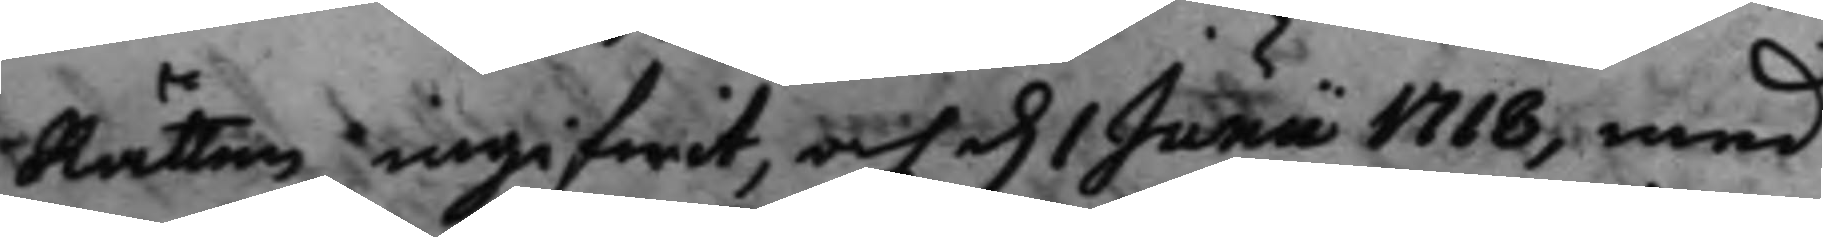Rätten ingifwit, och d. 1 Junii 1718, med
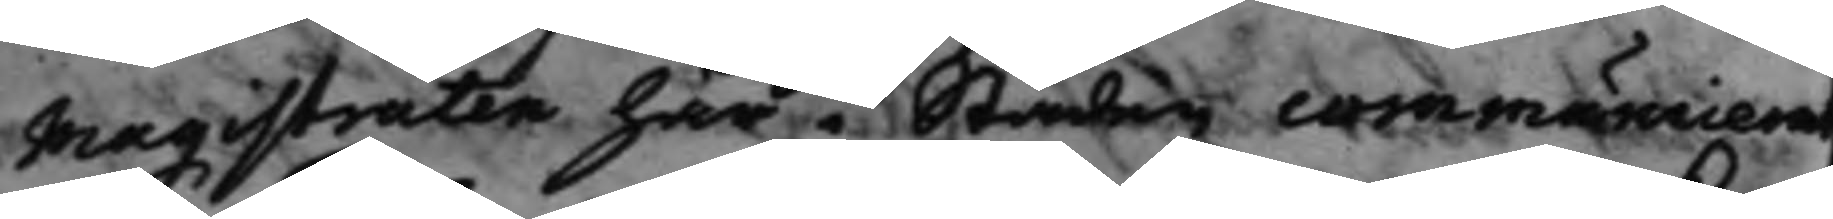Magistraten här i Staden communicerat
